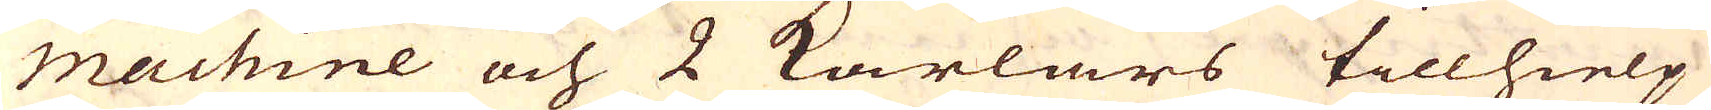Machine och 2 Karlars tillhielp
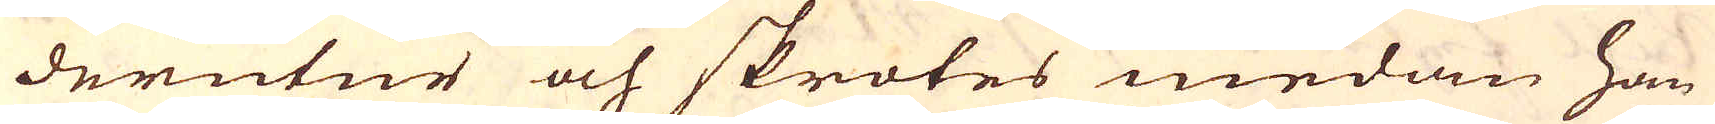derutur och skrotes medan han
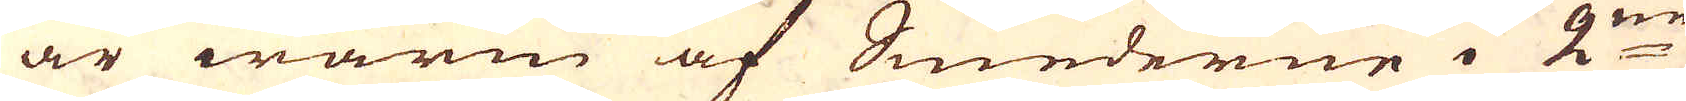är warm af Smederne i 2:ne
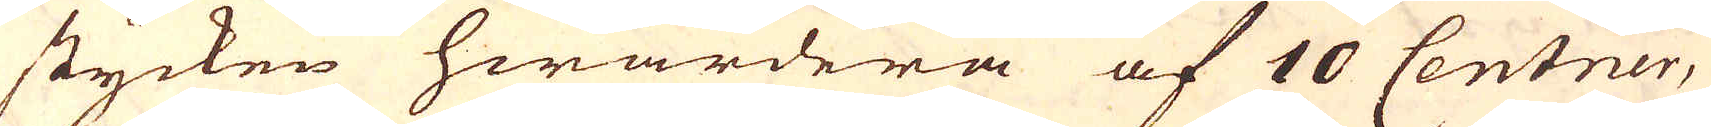stycken hwardera af 10 Centner,
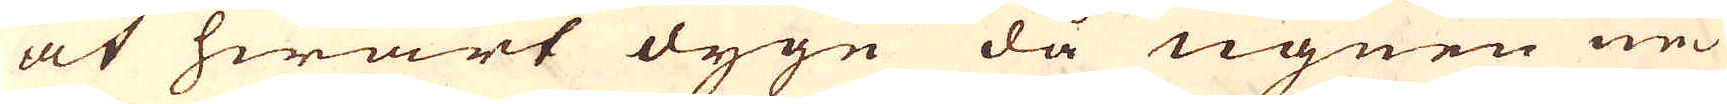at hwart dygn då ugnen ne-
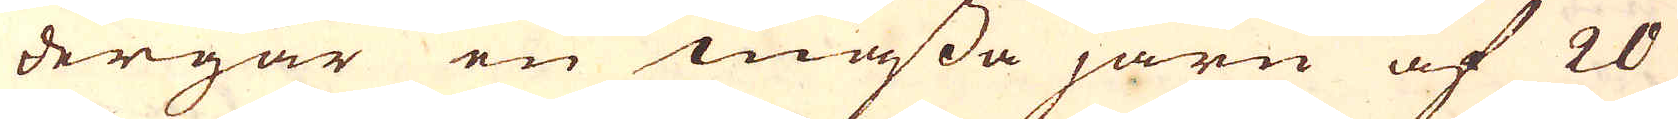dergår en massa järn af 20
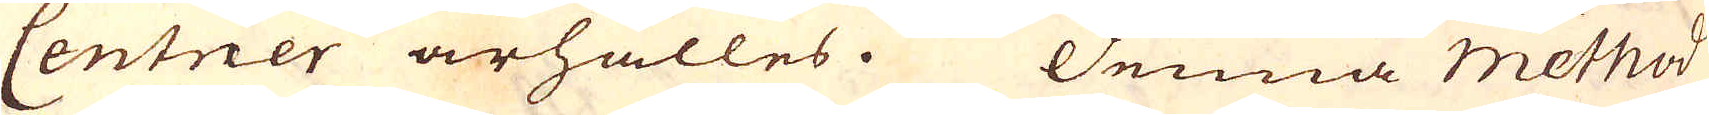Centner ärhålles. Denna Method
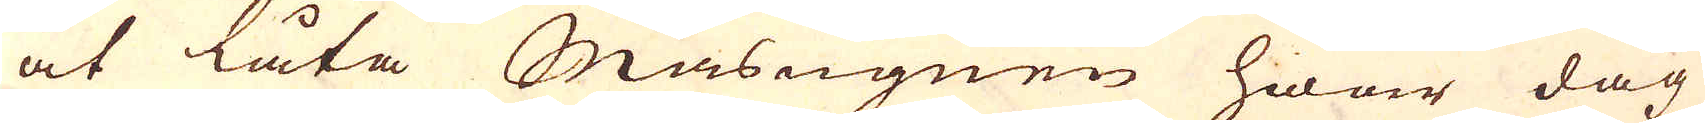at låta Masugnen hwar dag
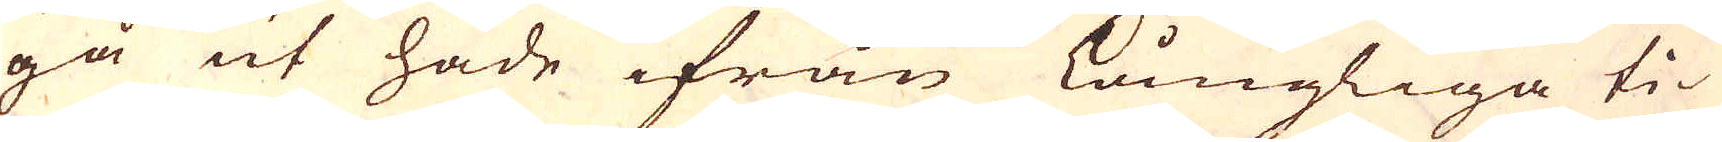gå ut hade ifrån Långliga ti-
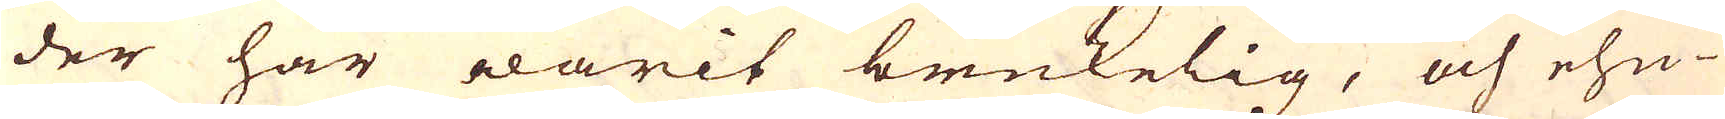der här warit brukelig, och ehu-
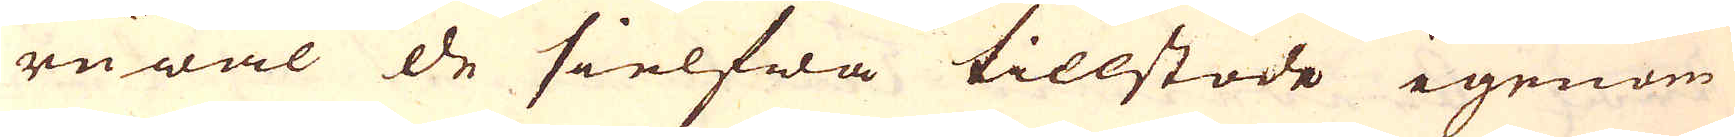ruwäl de sielfwa tillstode igenom
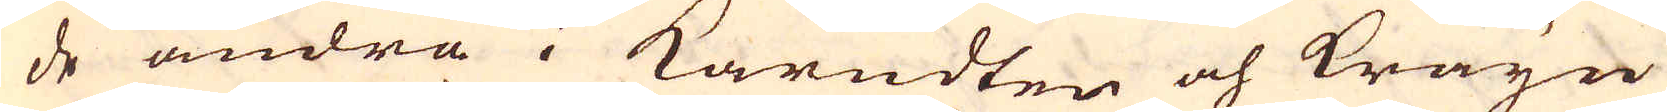de andra i Kärndten och Kräyn
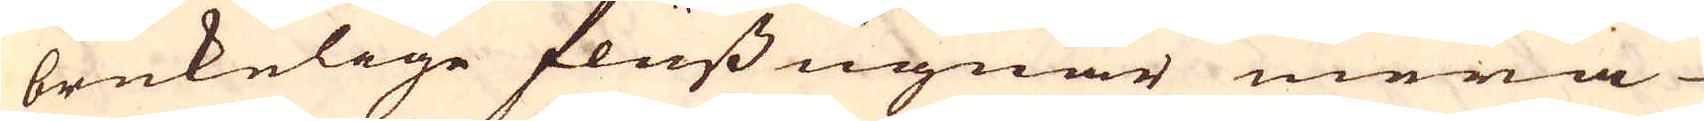brukelige fluss ugnar mera
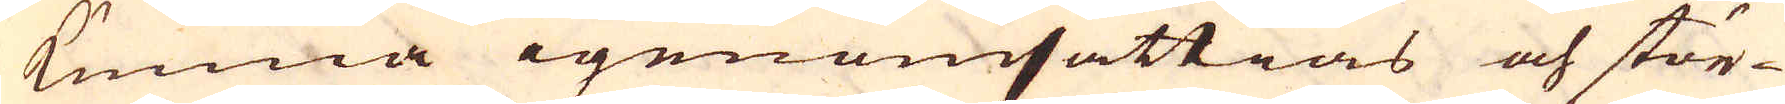kunna igenomsättias och stör-
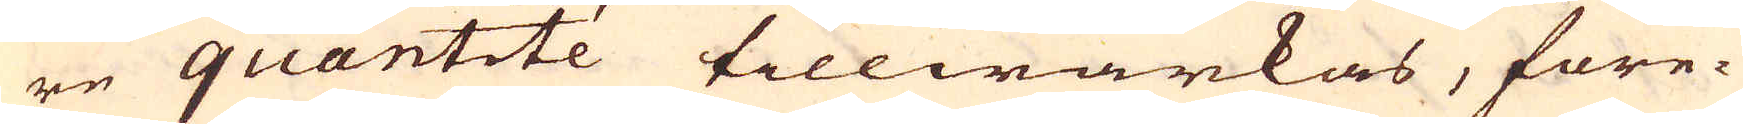re quantité tillwärkas, före-
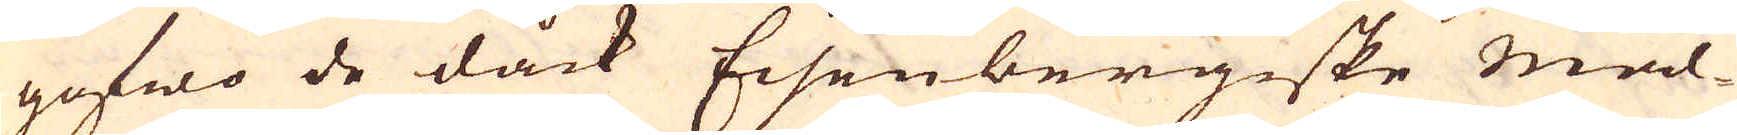gofwo de dåck Eisenbergiske mal-
